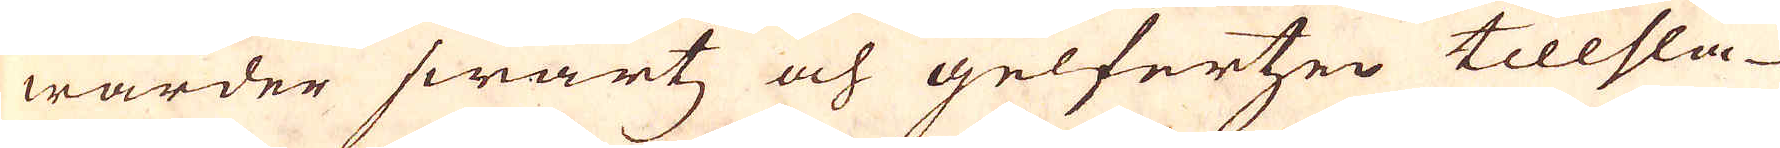warder swartz och gelfertzen tillsla-
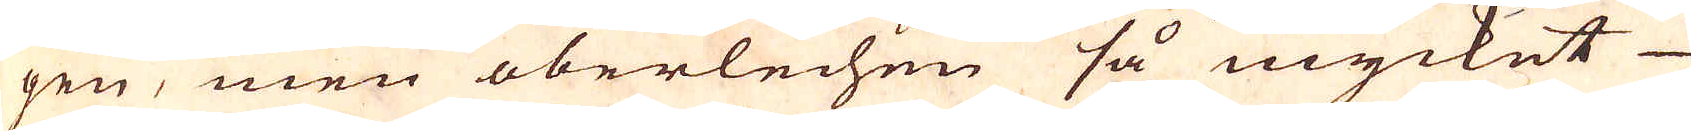gen, men oberlechen så mycket
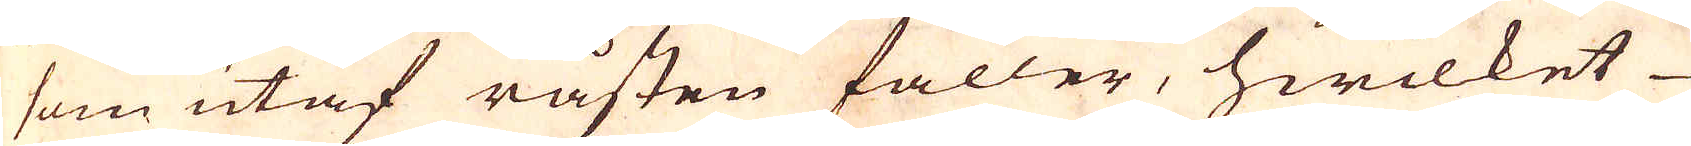som utaf råsten faller, hwilket
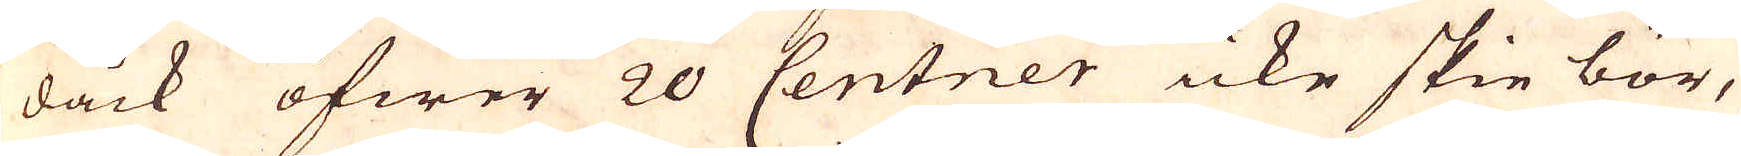dåck öfwer 20 Centner icke skie bör,
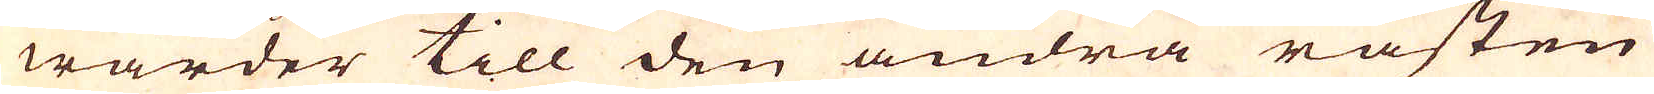warder till den andra råsten
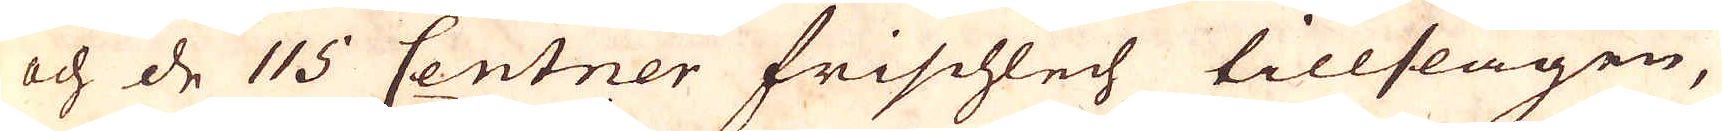och de 115 Centner frischlech tillslagen,
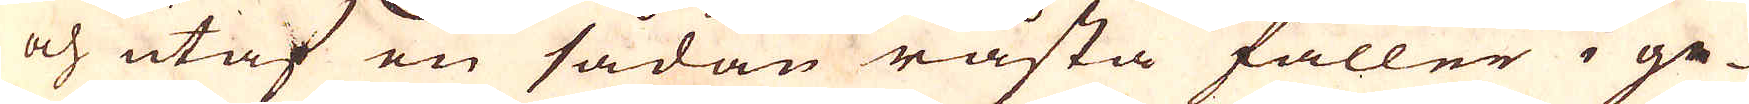och utaf en sådan råsta faller i ge-
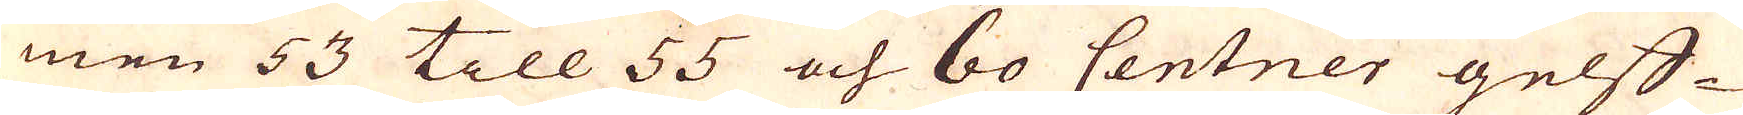men 53 till 55 och 60 Centner gelff-
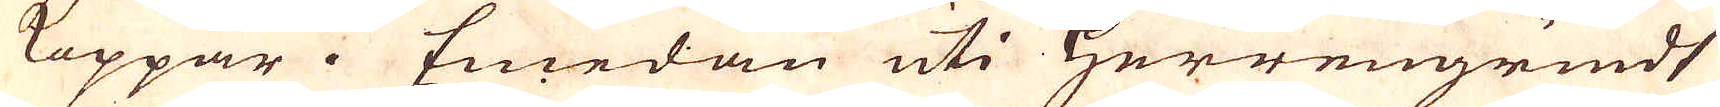Koppar. Emedan uti Herrengrundt
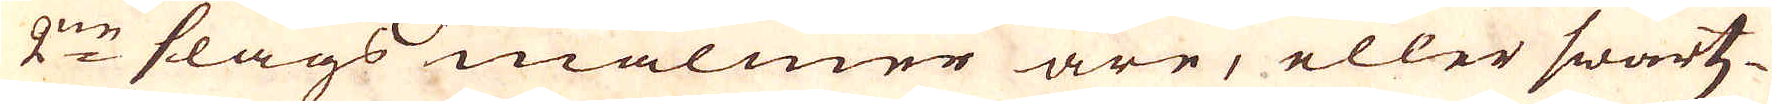2:ne slags malmer äre, eller swartz-
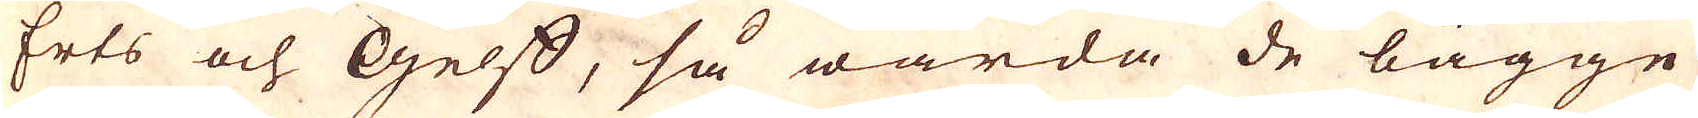Erts och Gelff, så warda de bägge
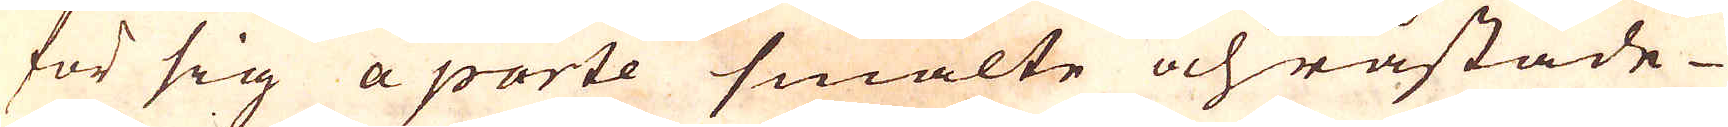för sig a parte smälte och råstade
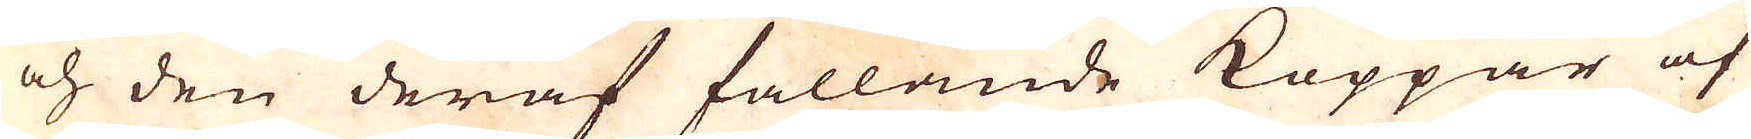och den deraf fallande Koppar af
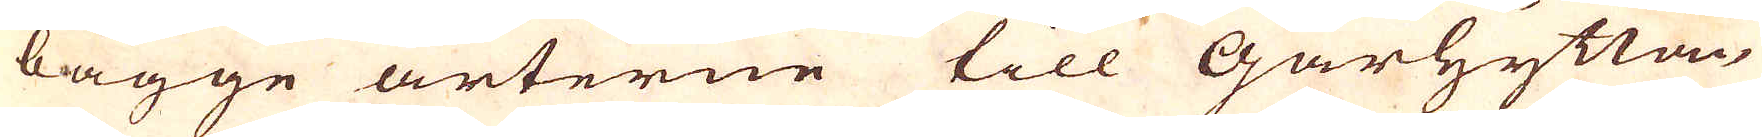bägge arterne till Gårhyttan
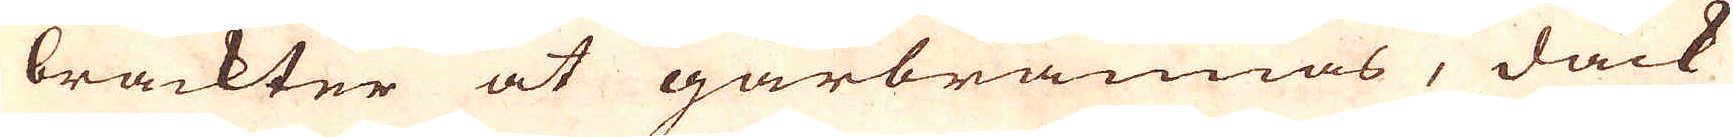brackter at gårbrännas, dåck
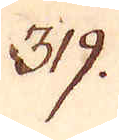319.
